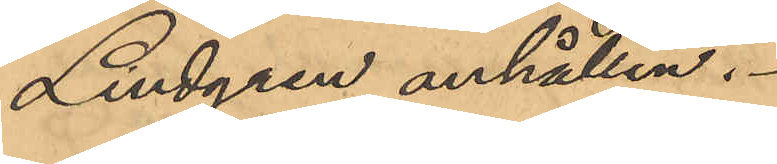Lindgren anhållen.
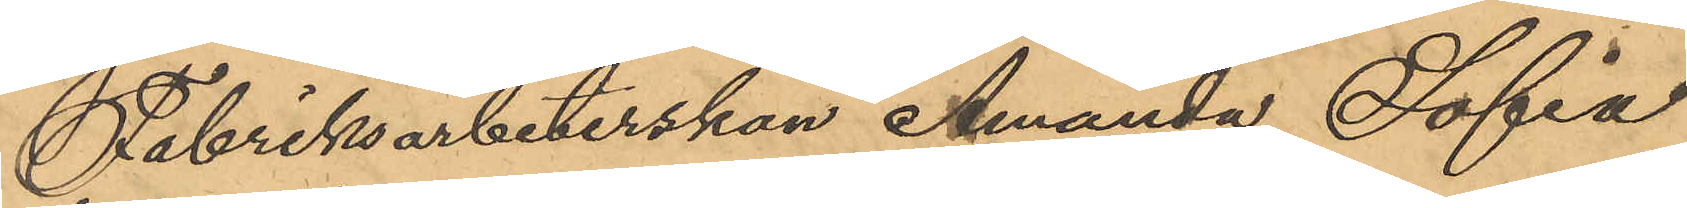Fabriksarbeterskan Amanda Sofia
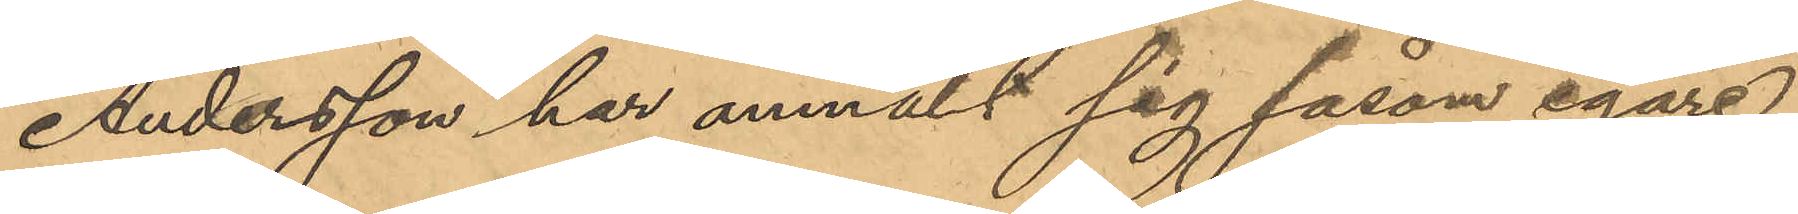Andersson har anmält sig såsom egare
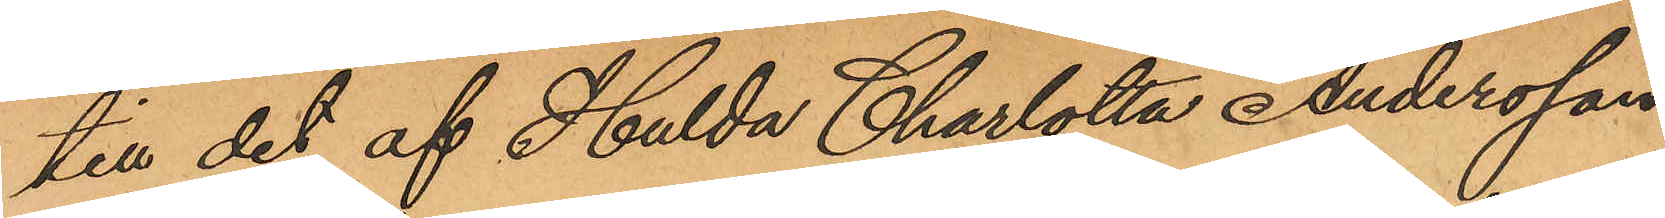till det af Hulda Charlotta Andersson
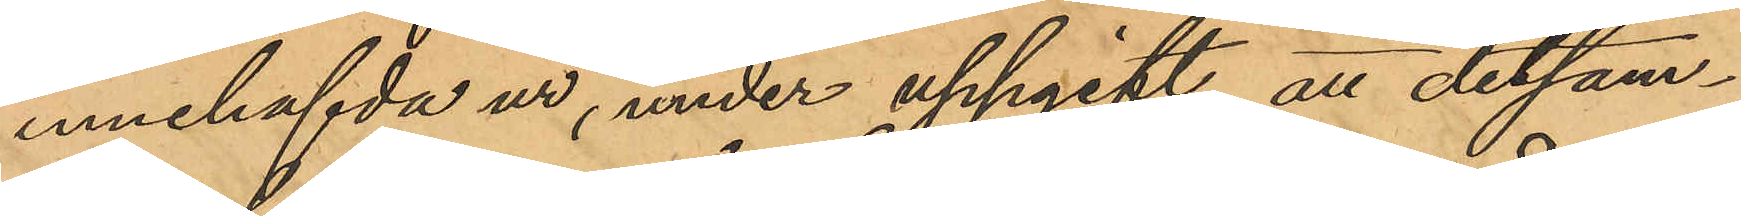innehafvda ur, under uppgift, att detsam¬
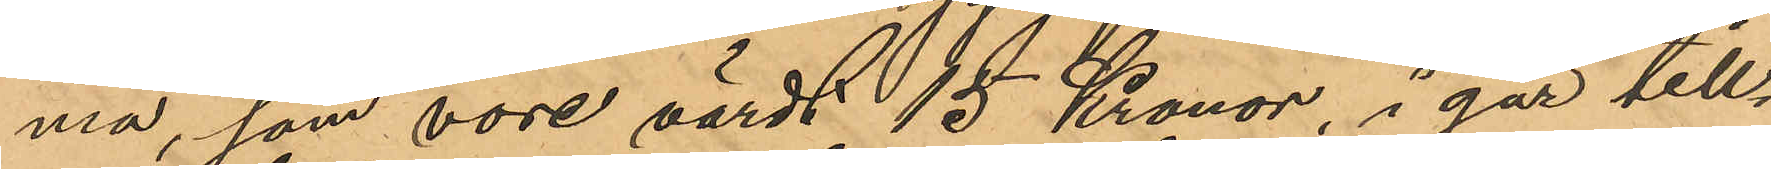ma, som vore värdt 15 Kronor, i går till¬
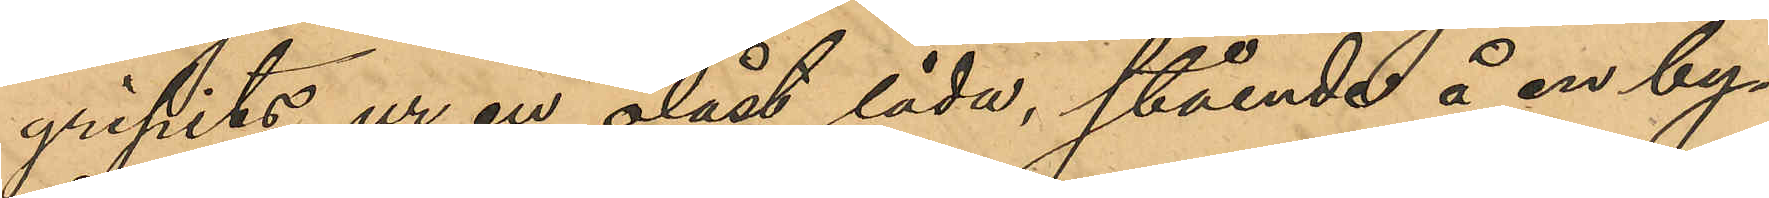gripits ur en olåst låda, stående å en by¬
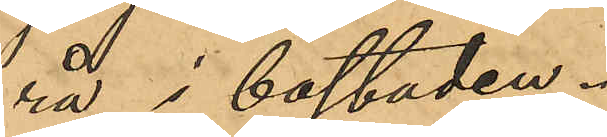rå i bostaden.
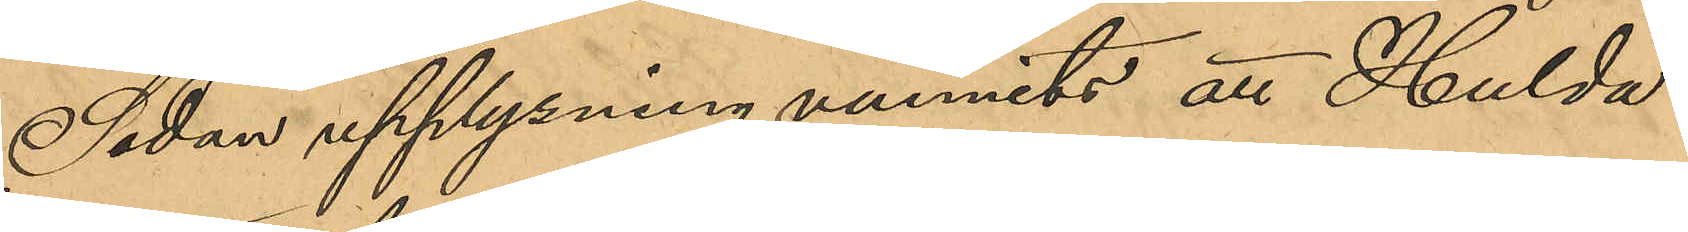Sedan upplysning vunnits att Hulda
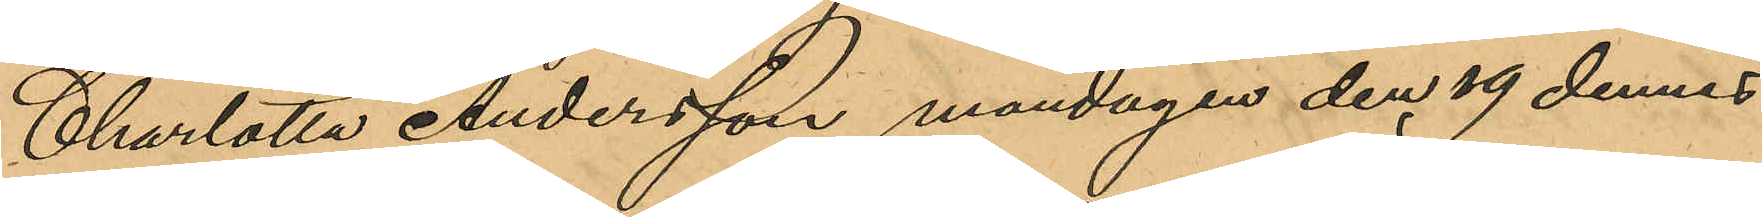Charlotta Andersson måndagen den 19 dennes
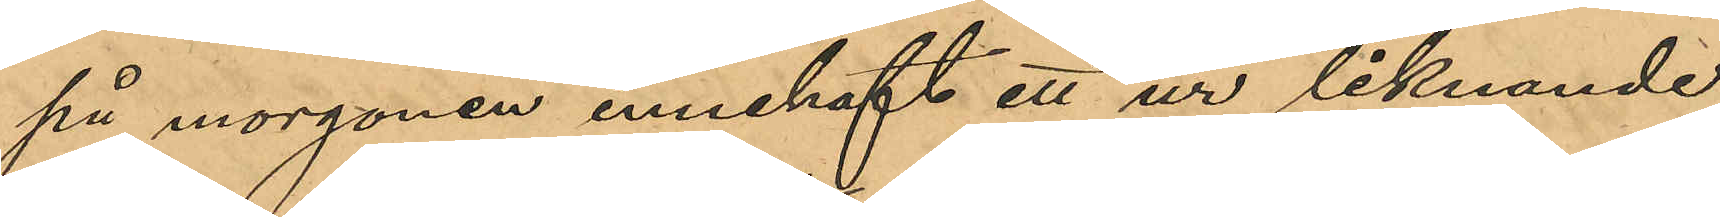på morgonen innehaft ett ur liknande
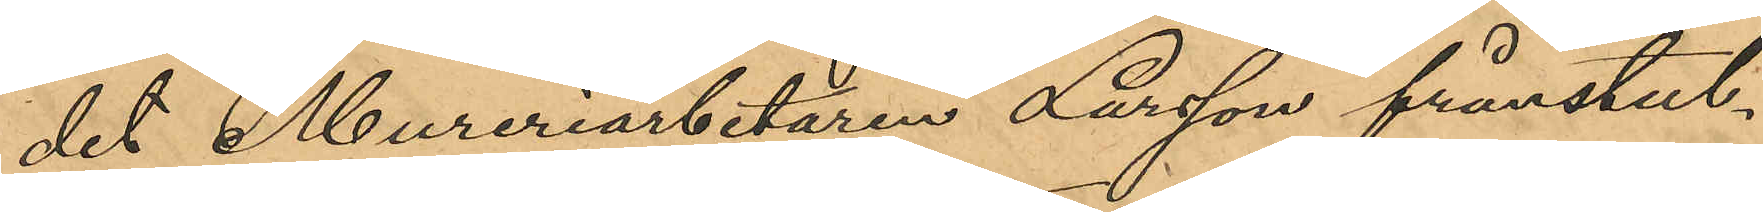det Mureriarbetaren Larsson frånstul¬
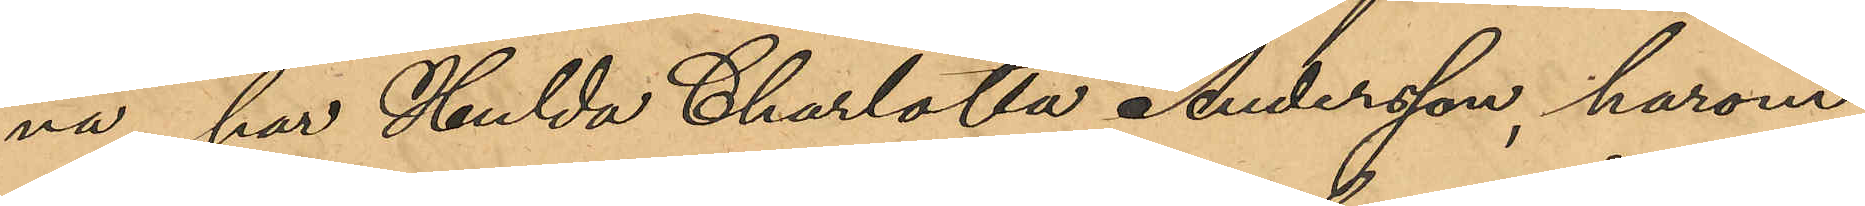na, har Hulda Charlotta Andersson, härom
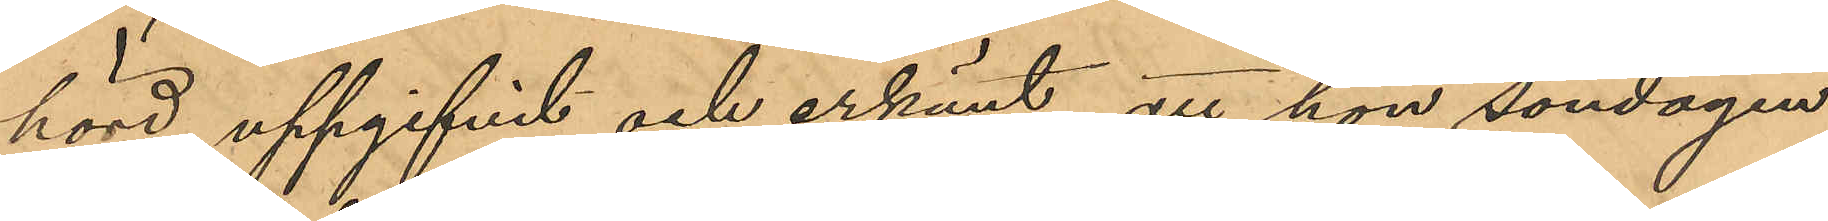hörd, uppgifvit och erkänt, att hon söndagen
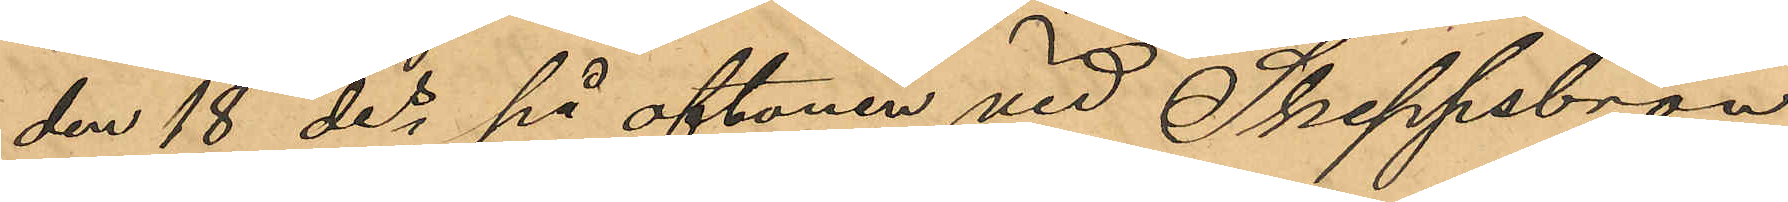den 18 des på aftonen vid Skeppsbron
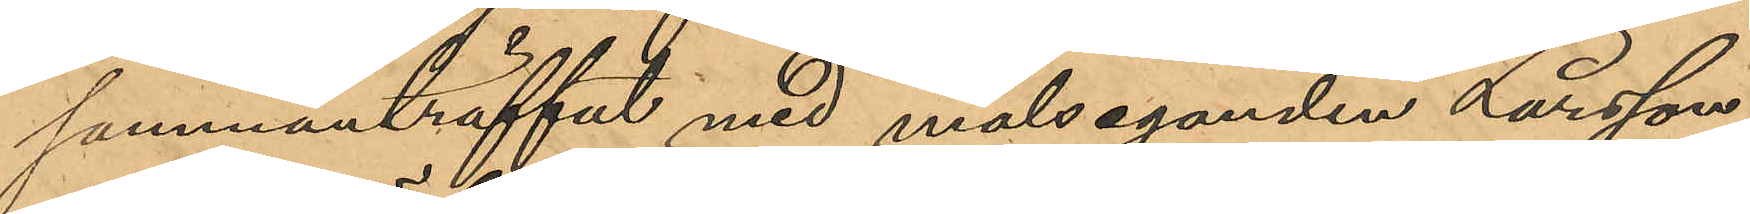sammanträffat med målseganden Larsson,
